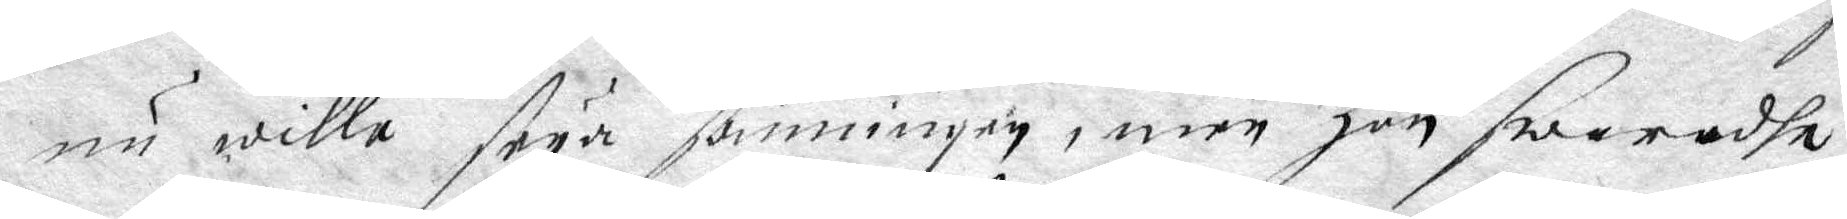nu wille seya sanningen, men hon swaradhe
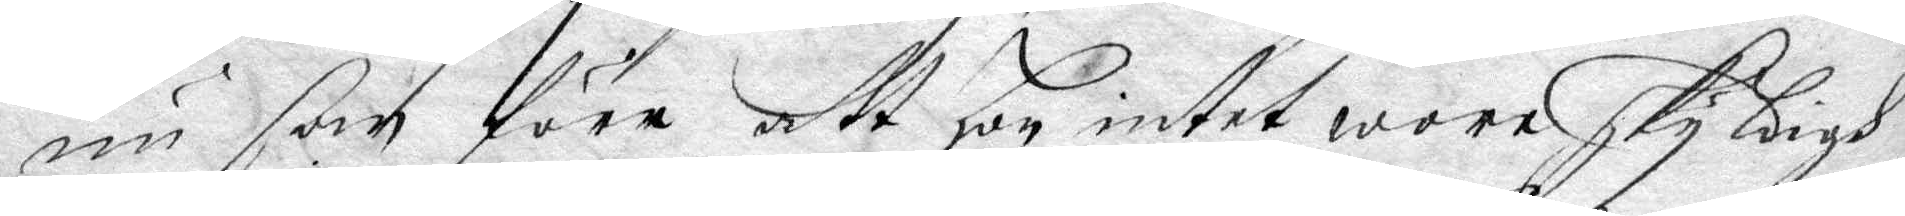nu som före att hon intet wore skyldigh
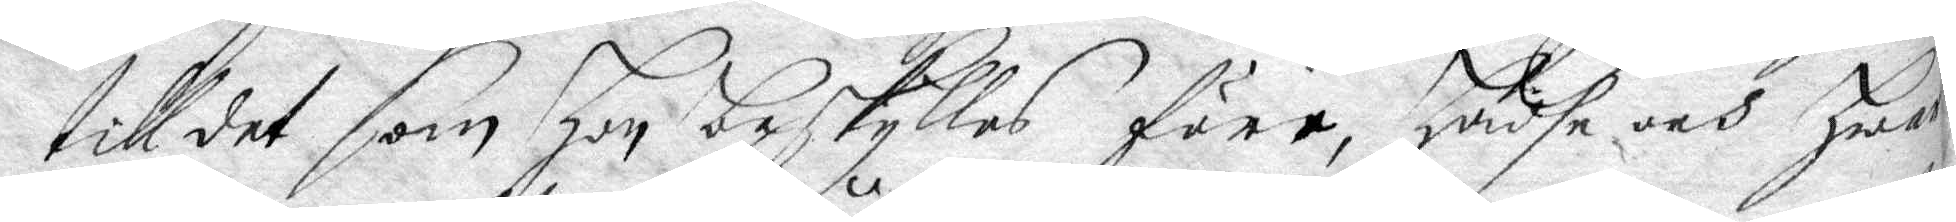till det som hon beskylles före, hadhe och hwar¬
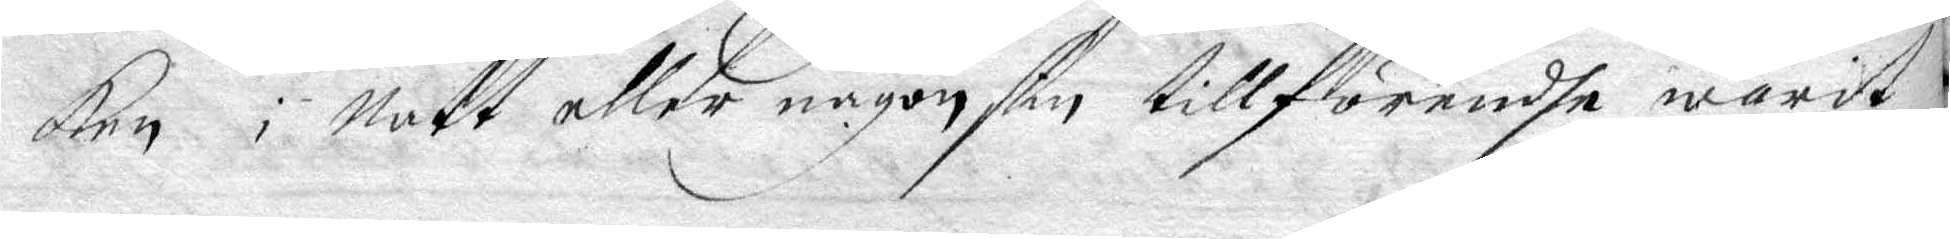ken i natt eller någon sin tillförendhe warit
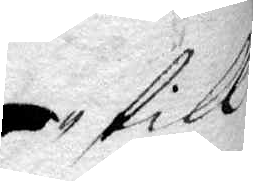till
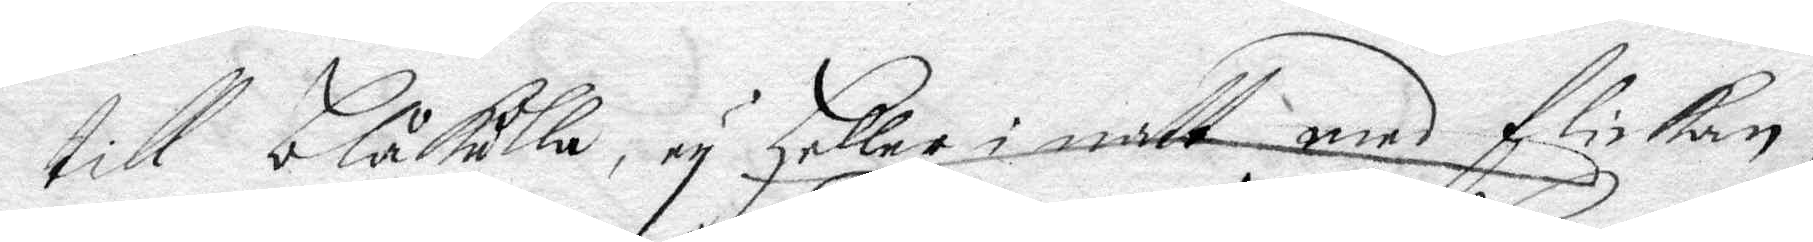till blåkulla ey heller i natt med flickan,
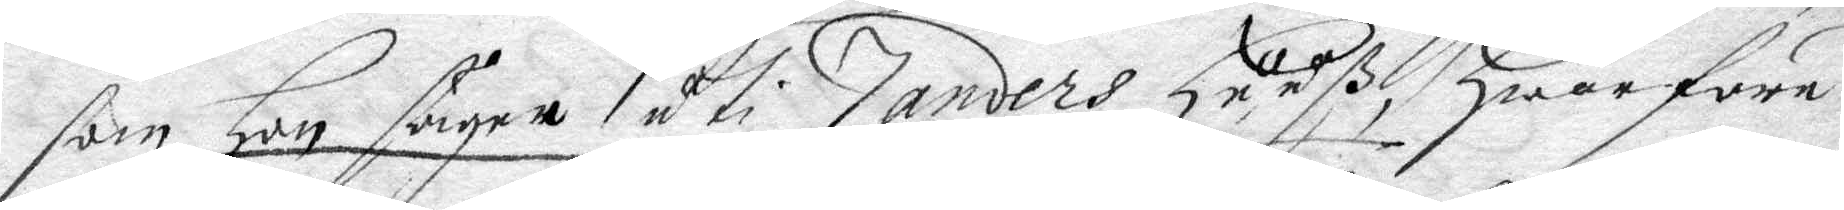som hon säyer uti Zanders huuß, hwarföre
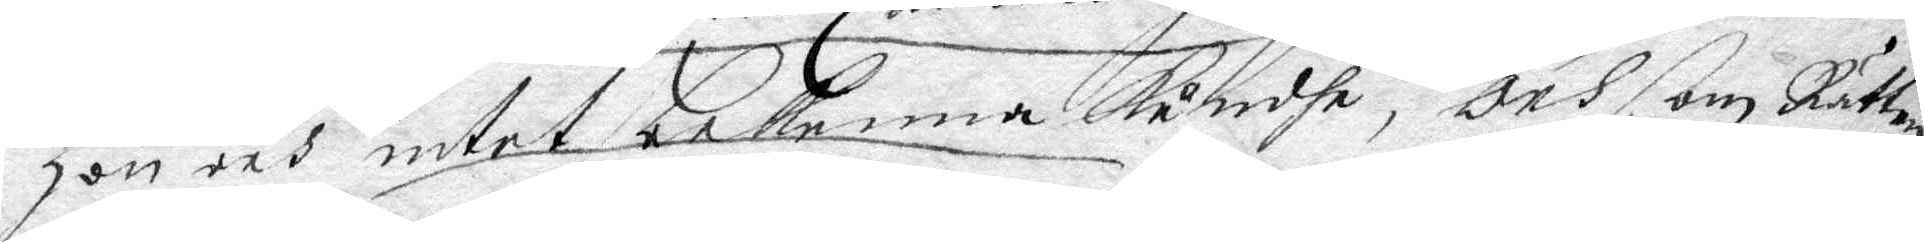hon och intet bekenna kundhe, och ßom Rätten
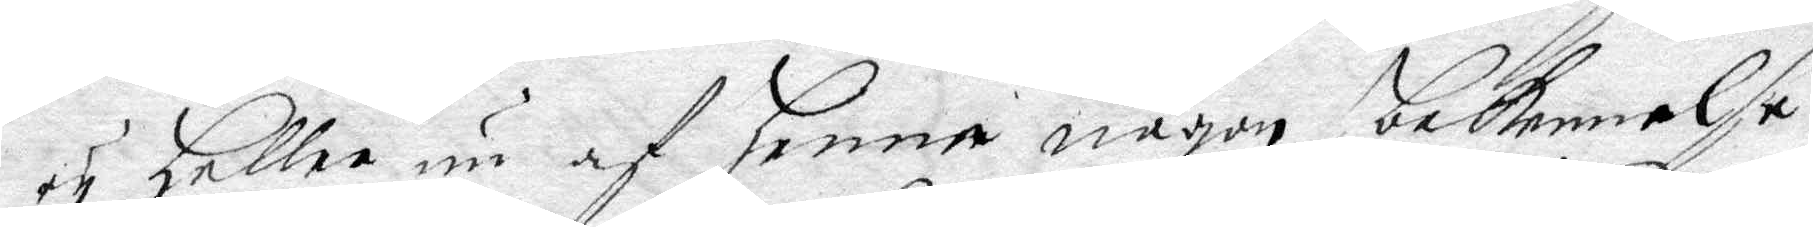ey heller nu af henne någon bekennelse
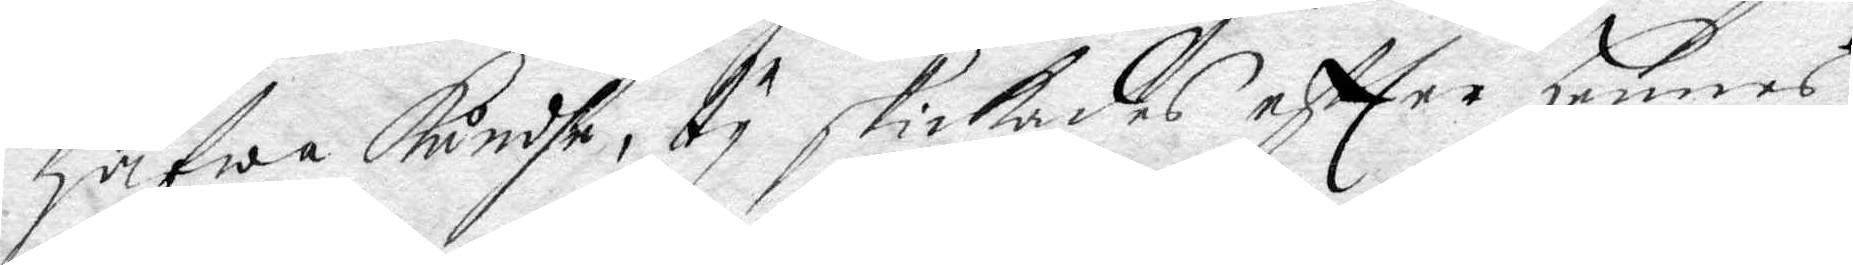hafwa kundhe, ty skickades eftter hennes
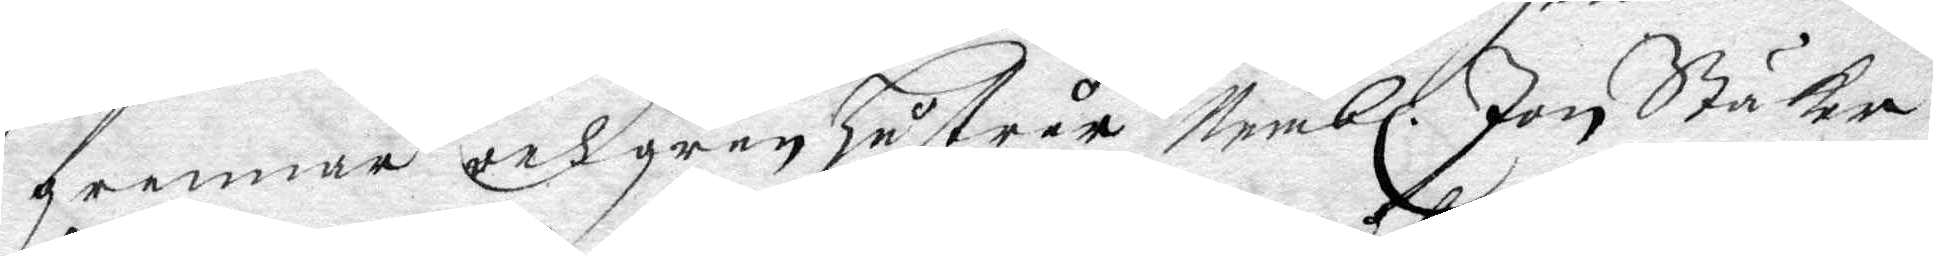grannar och granhustru Nembl. Jan Stäker
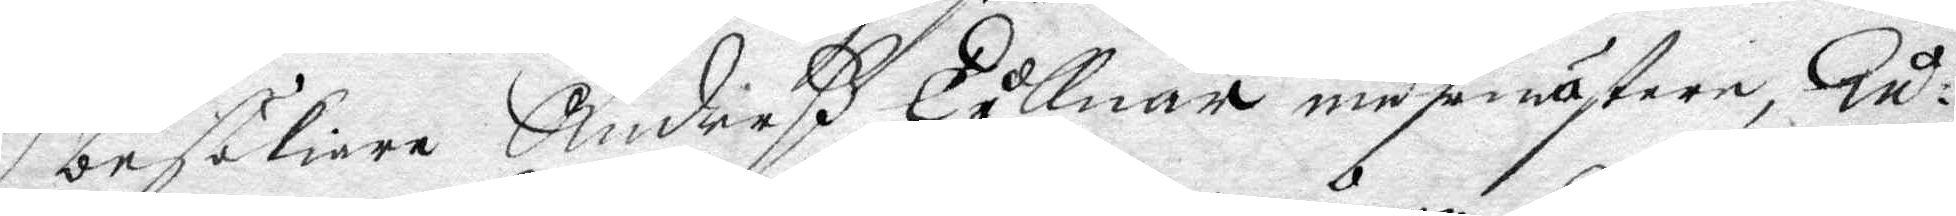besökiare Anderß Tullnär muhrmäster, Gu¬
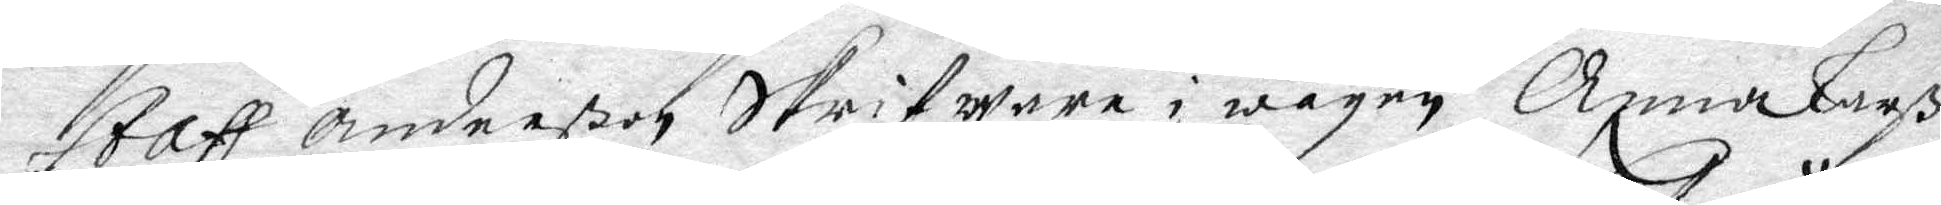staff anderßon Skrifware i wågen Anna Larß¬
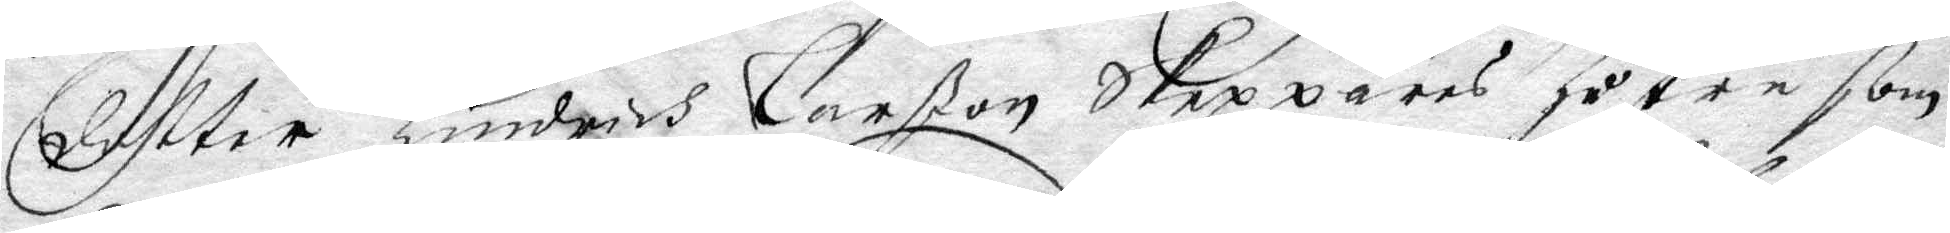dotter Hinders Larßon skeppares hustru som
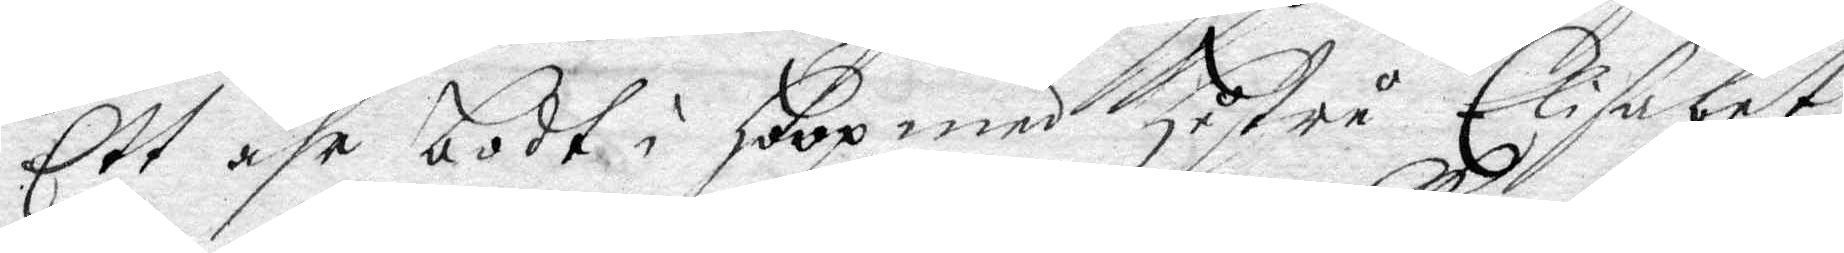Ett åhr bodt i hoop med hustru Elisabet
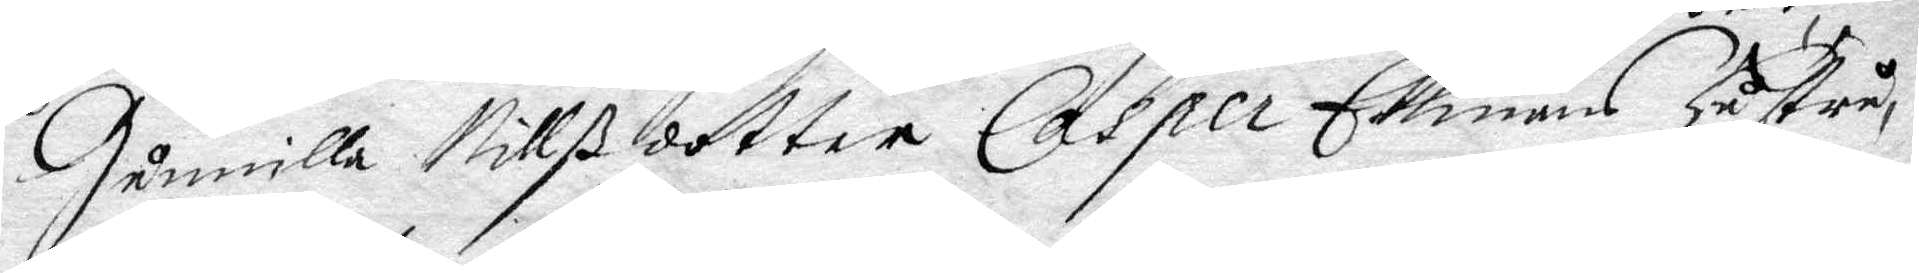Gunilla Nillßdotter, Casper Ekmans hustru,
